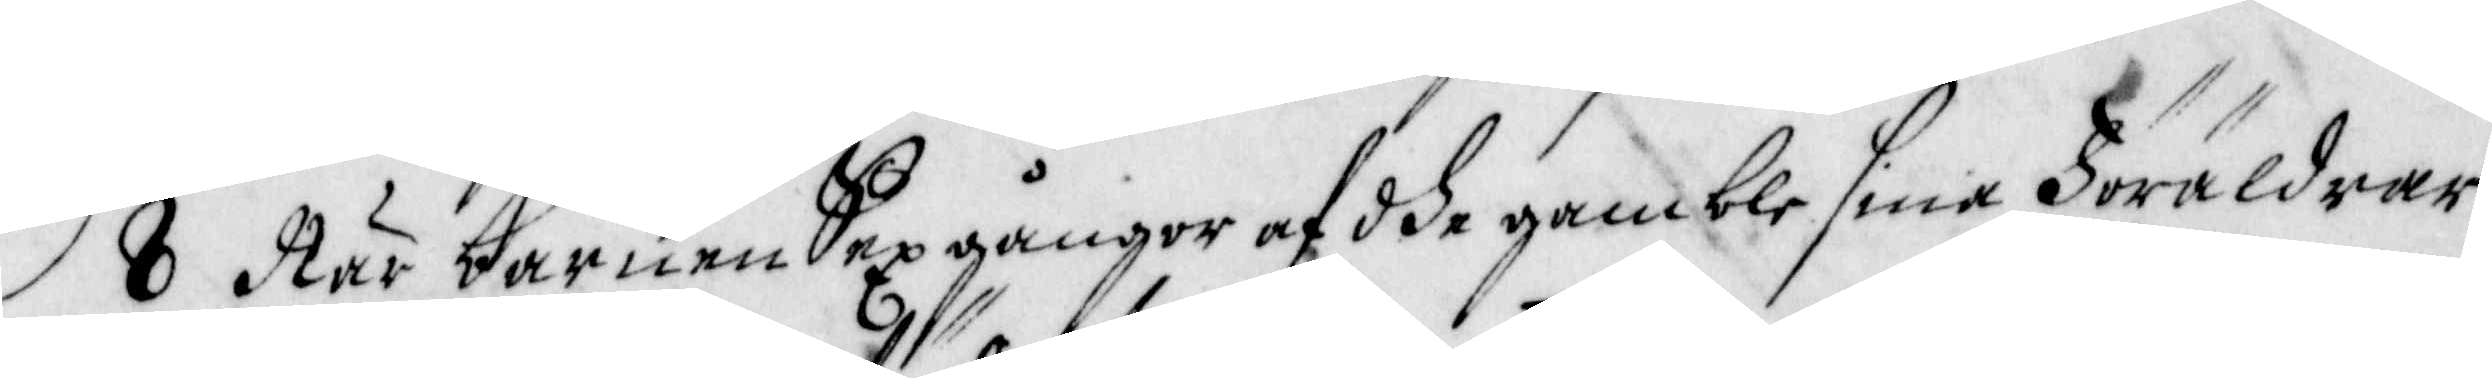8 När barnen Sex gångor af dhe gamble sina Föräldrar
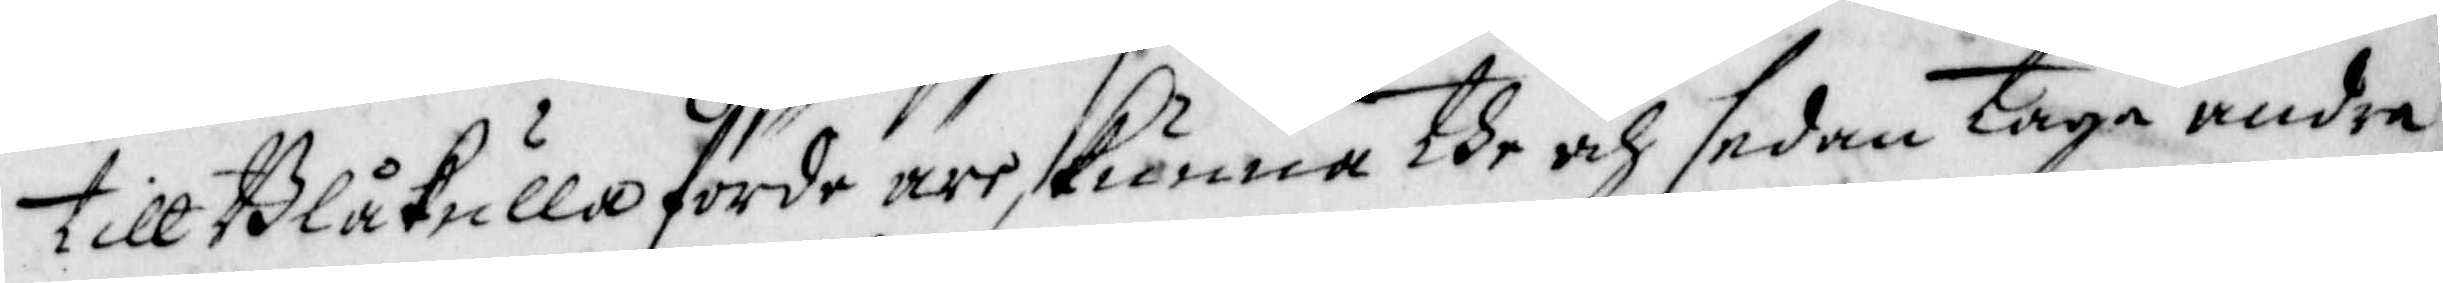till Blåkulla förde äre, künna the och sedan taga andra
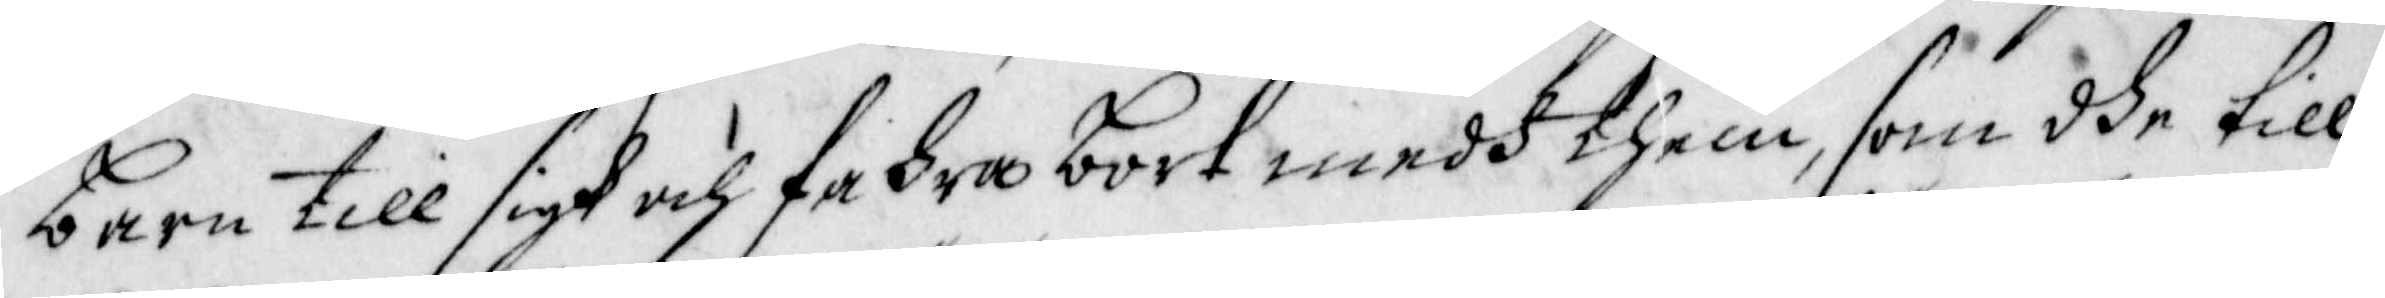barn till sigh och fahra bort medh them, som dhe till
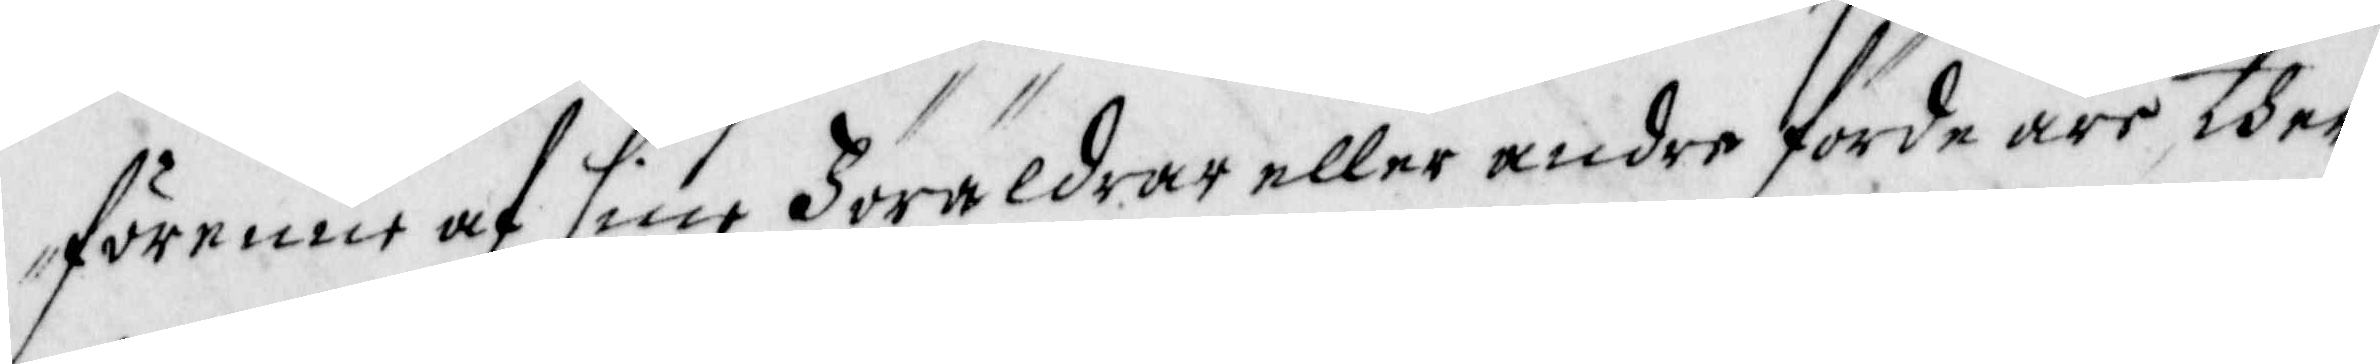förenne af sine Föräldrar eller andre förde äro ther
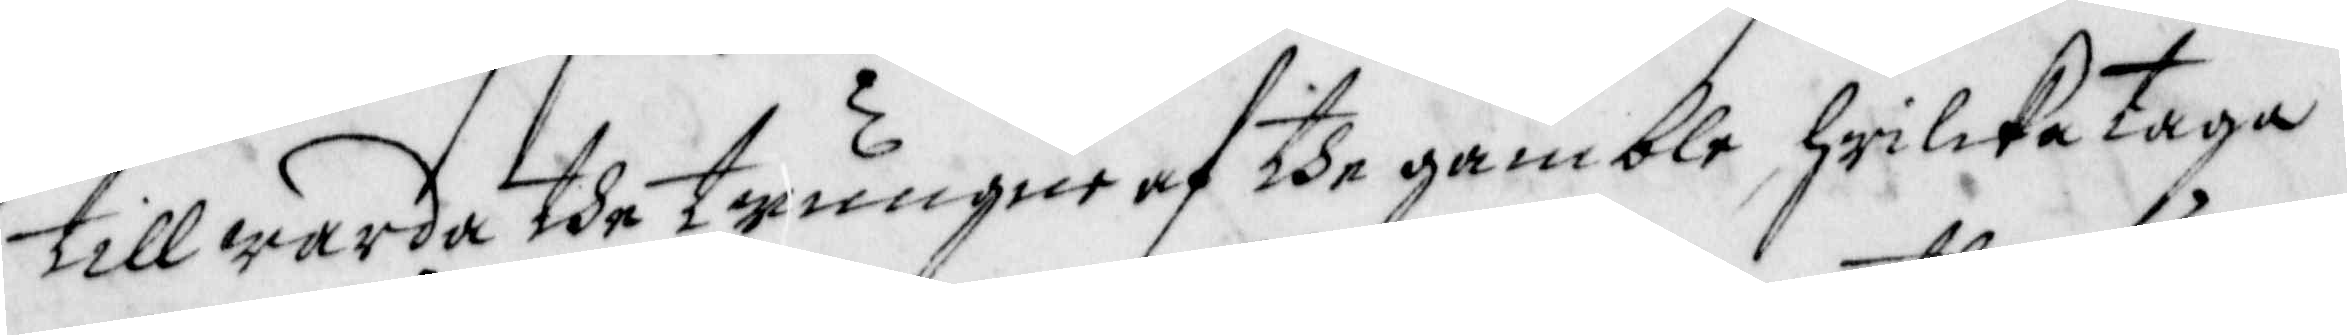till warda dhe twungne af the gamble hwilcka taga
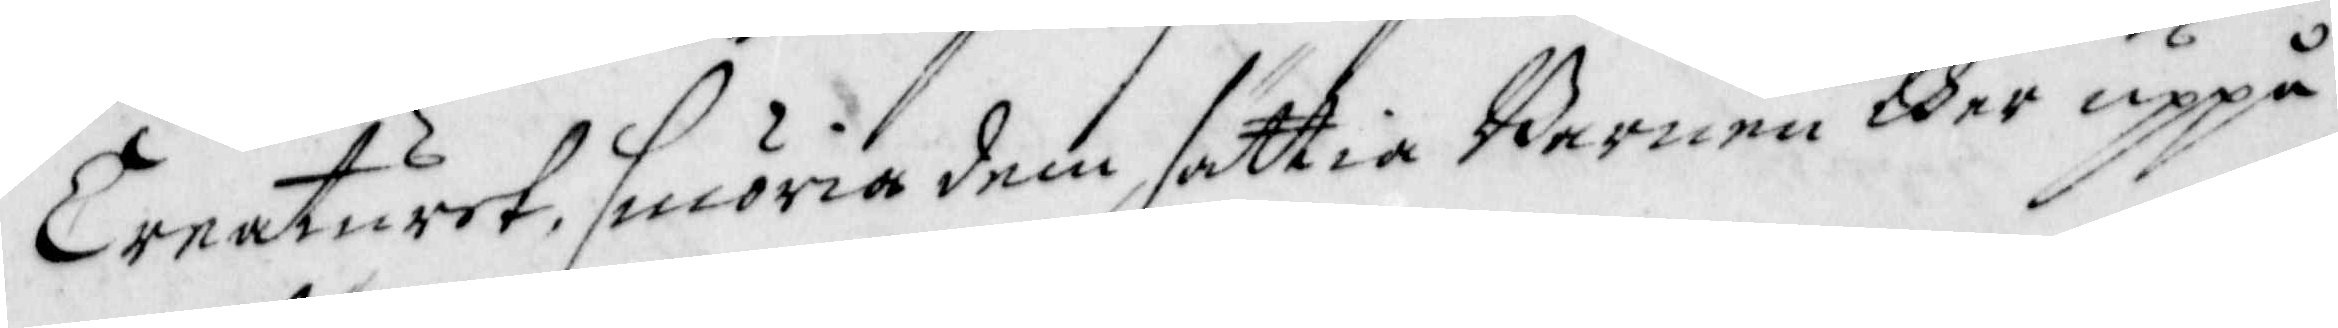Creaturet, smöria dem, sättia Barnen ther uppå
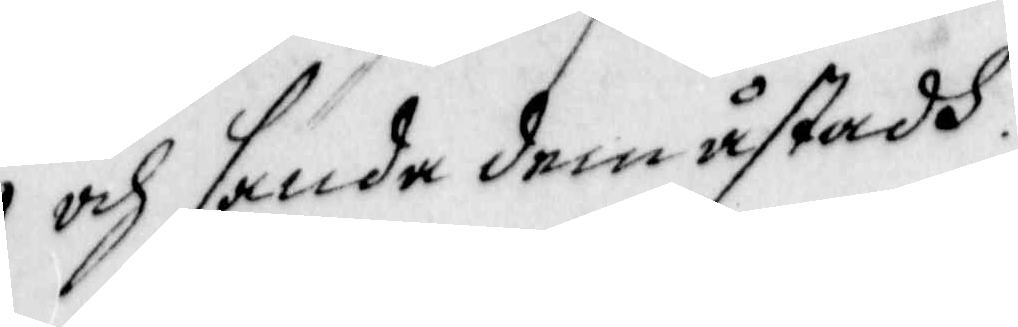och sända dem åstadh.
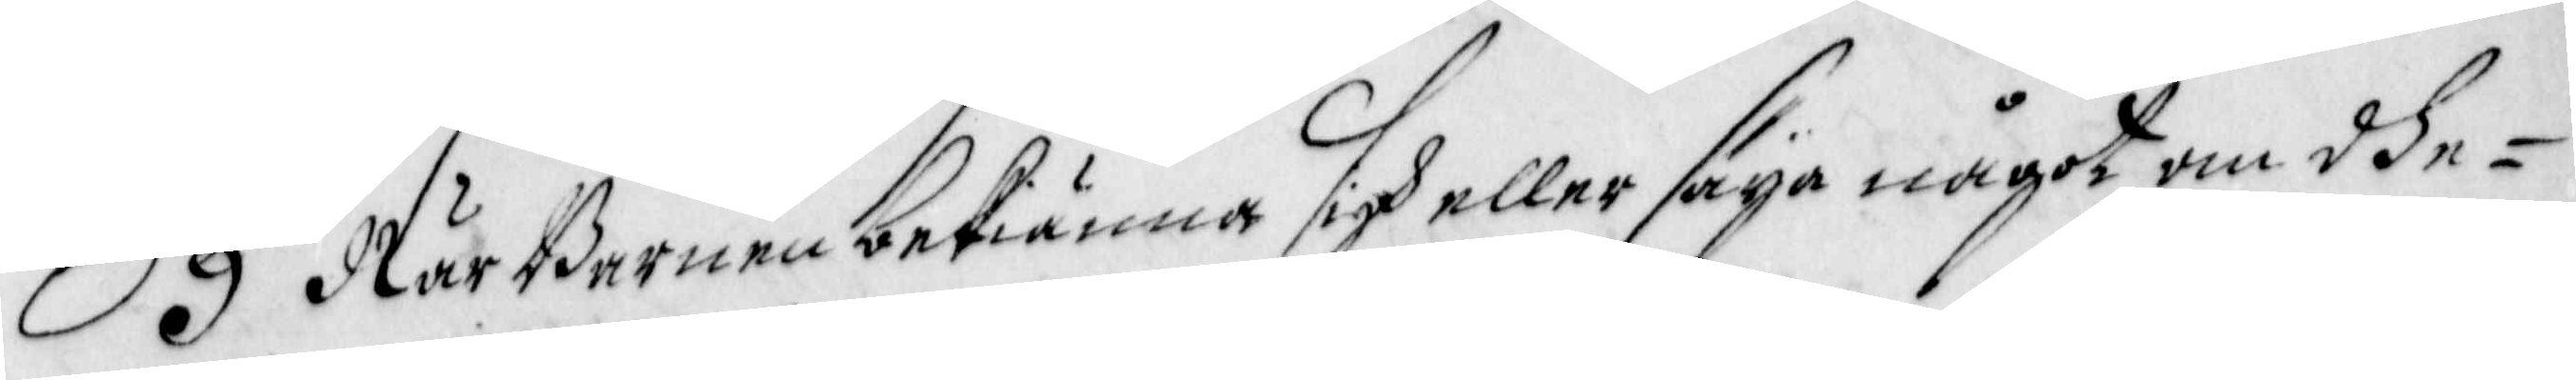9 När Barnen bekiänna sigh eller säya något om dhe¬
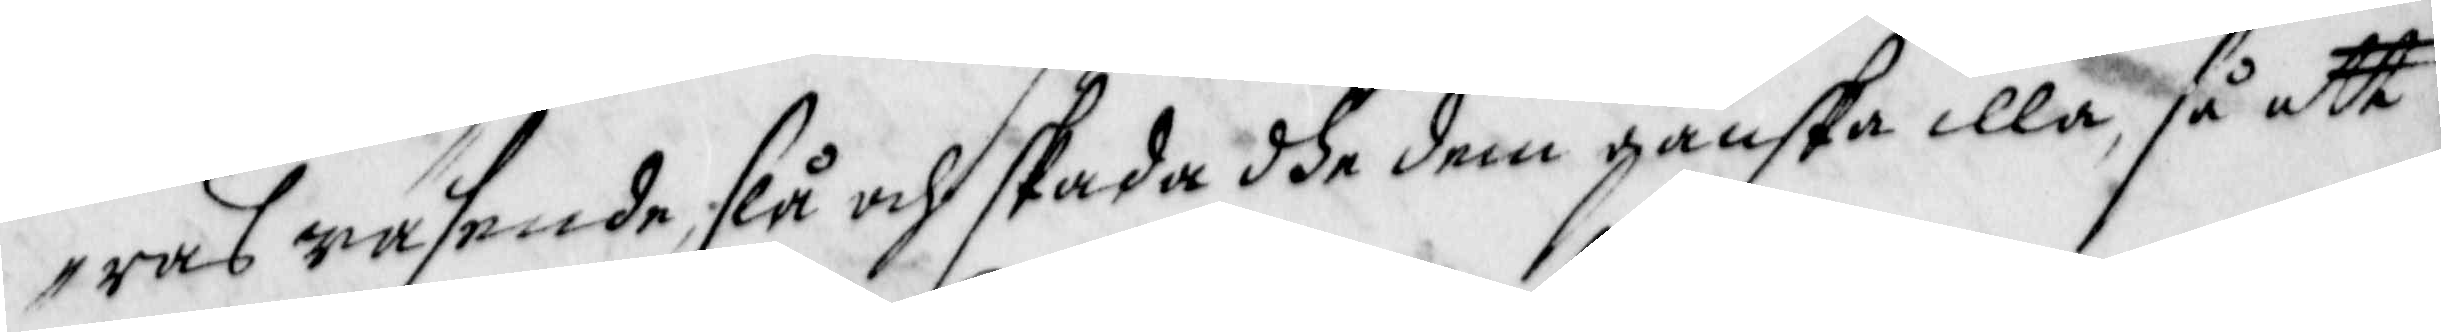ras wäsende, slå och skada dhe dem ganska illa, så att
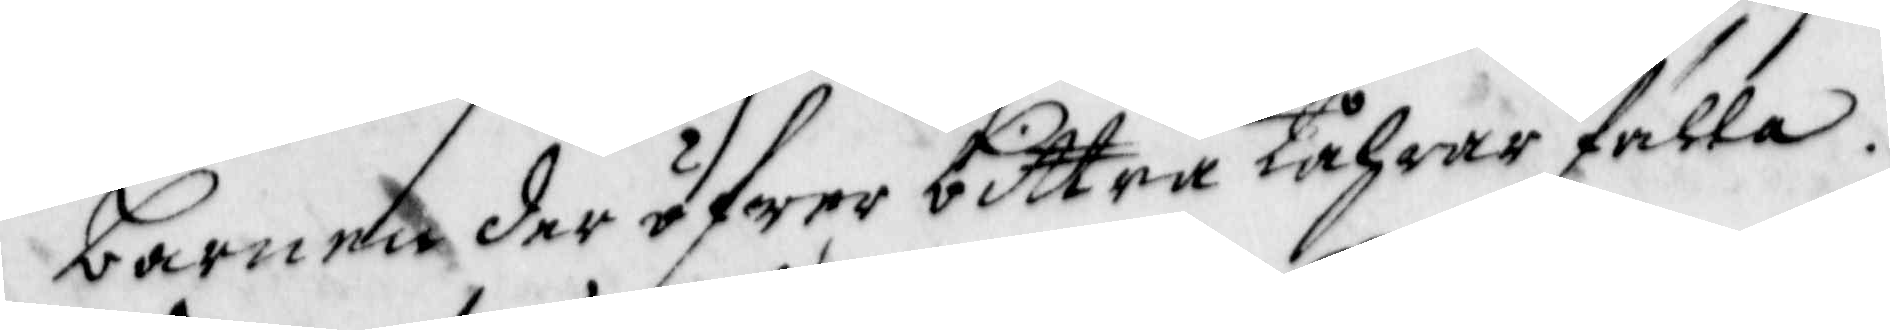barnen der öfwer bittra tåhrar fälla.
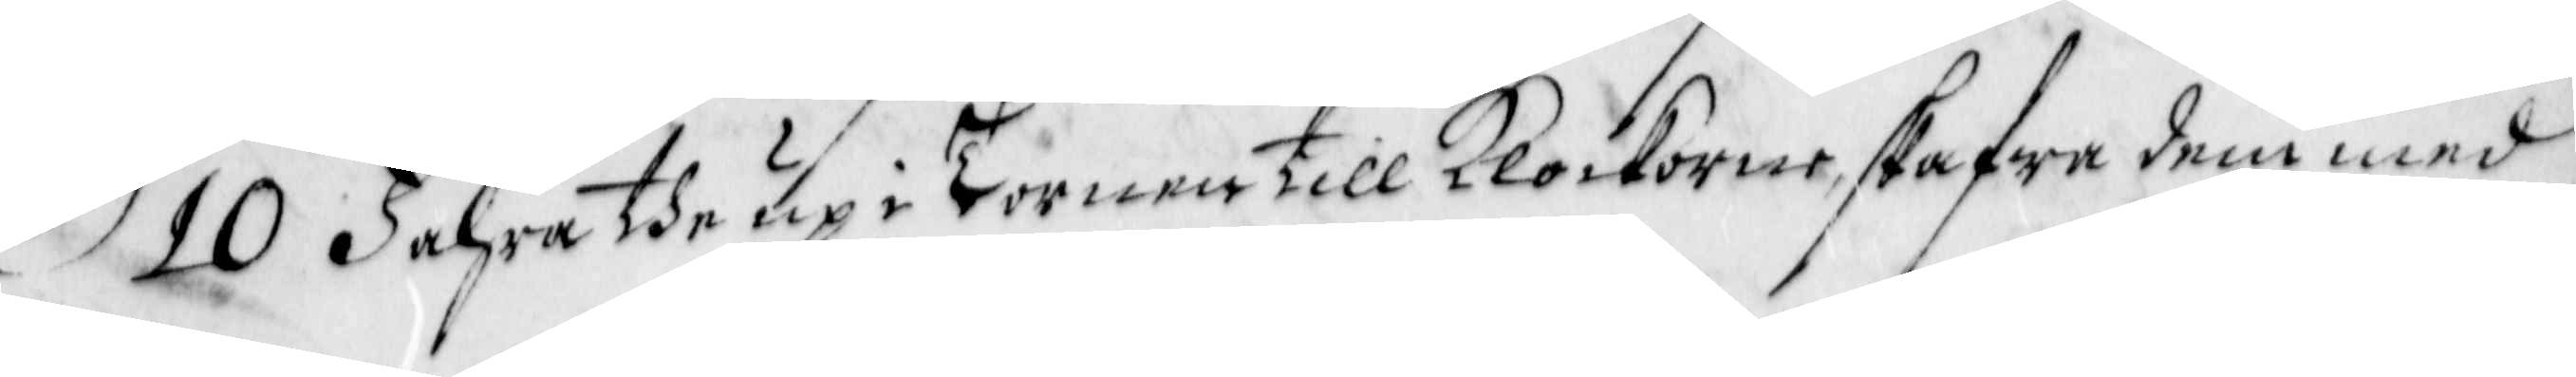10 Fahra the up i Tornen till Klockorne, skafwa dem med
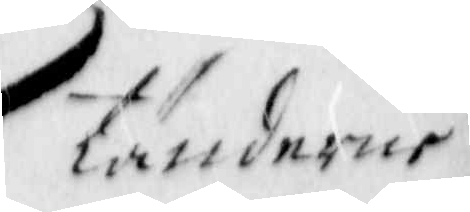tänderne
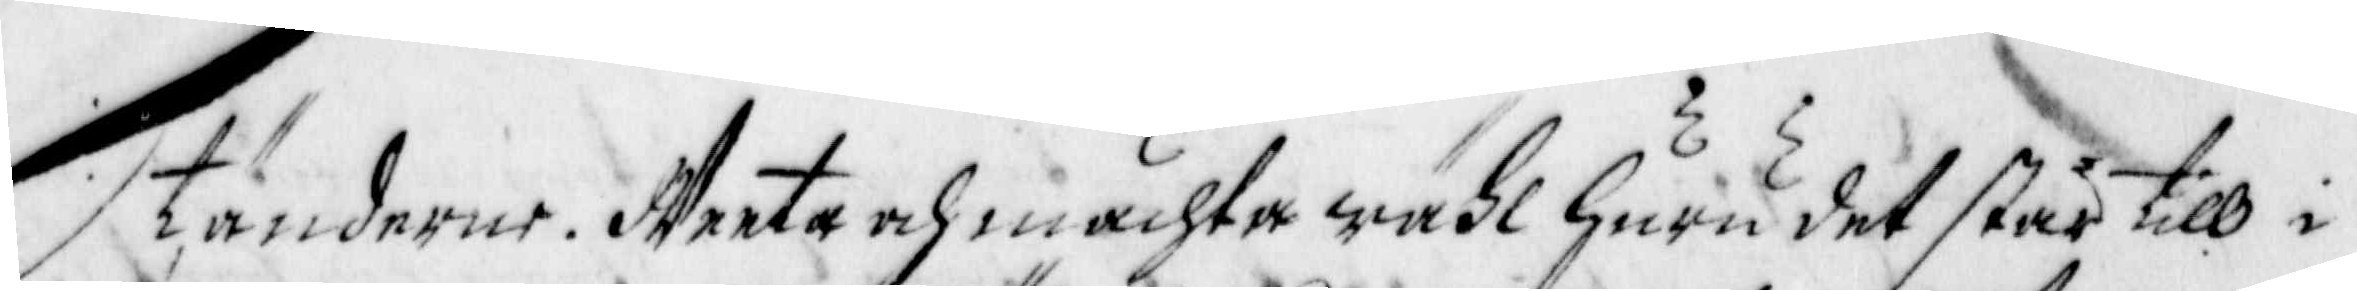tänderne. Weeta och mächta wähl huru det står till i
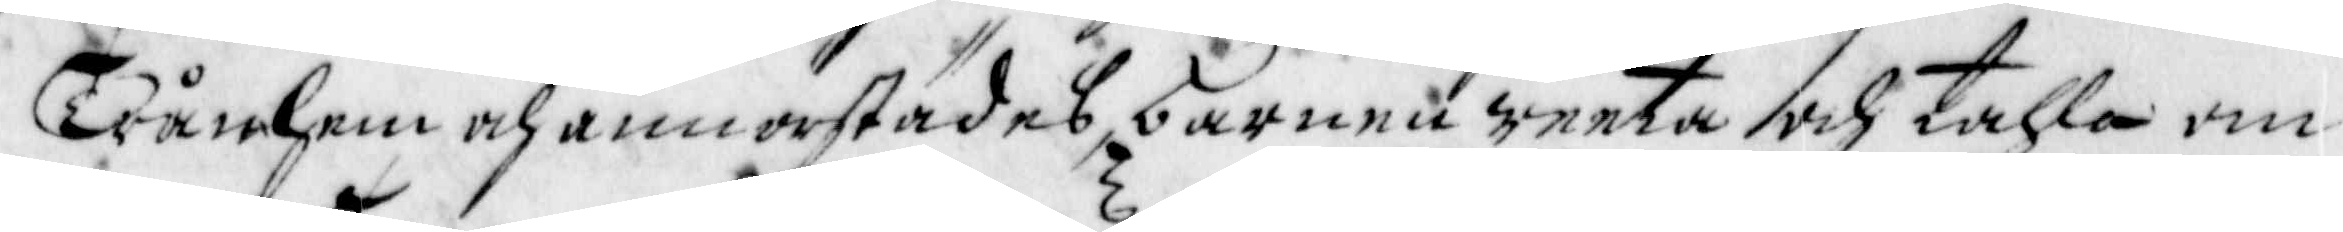Tånhem och annorstädes barnen weeta och tahla om
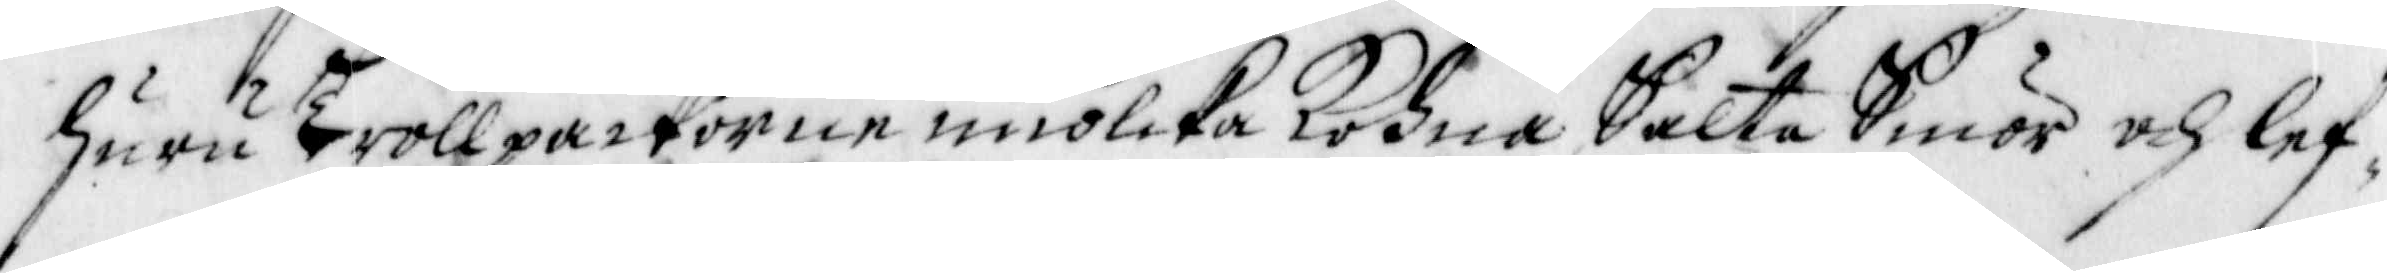huru Trollpackorne miölcka kohna, Salta Smör och lef¬
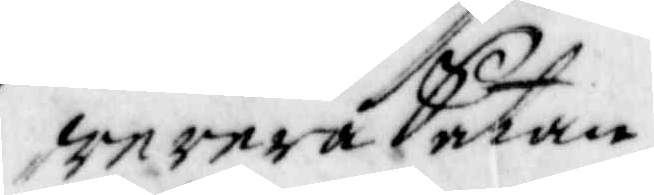werera Satan.
